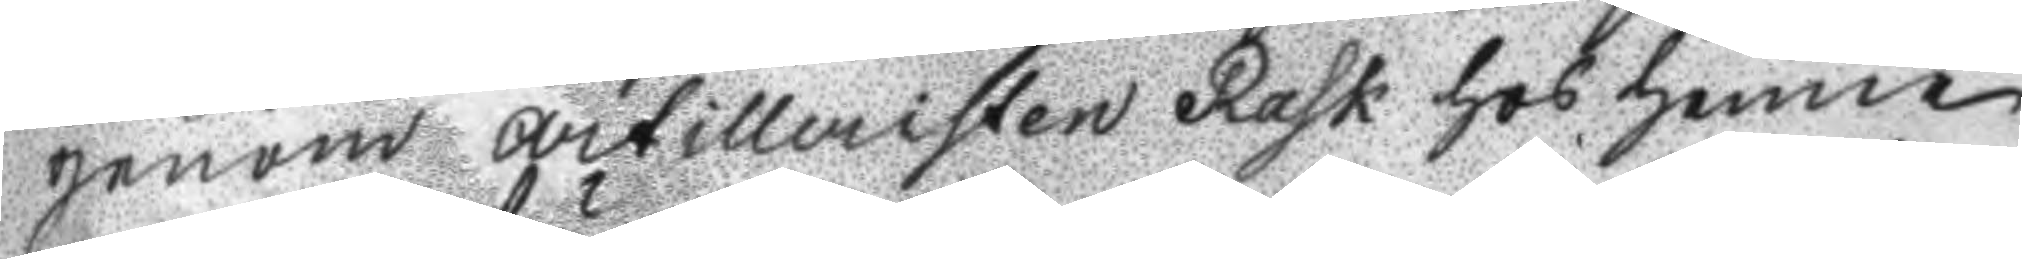genom artilleristen Rask hos henne
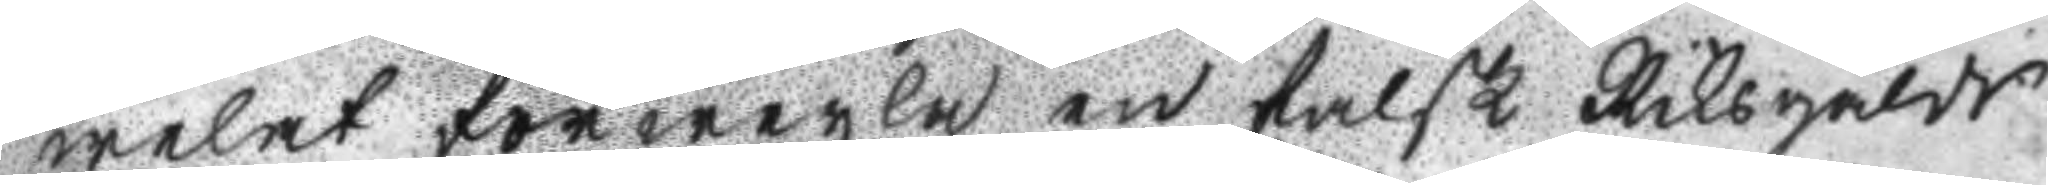welat förwexla en falsk Riksgälds
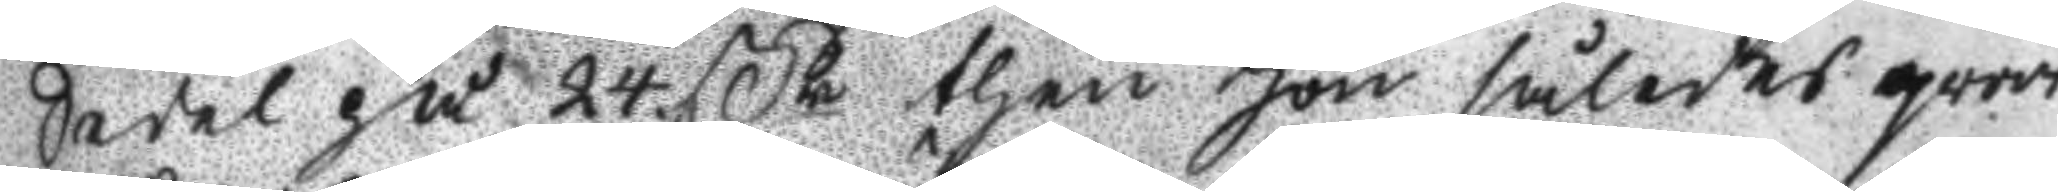Sedel på 24 ßr then hon således qvar
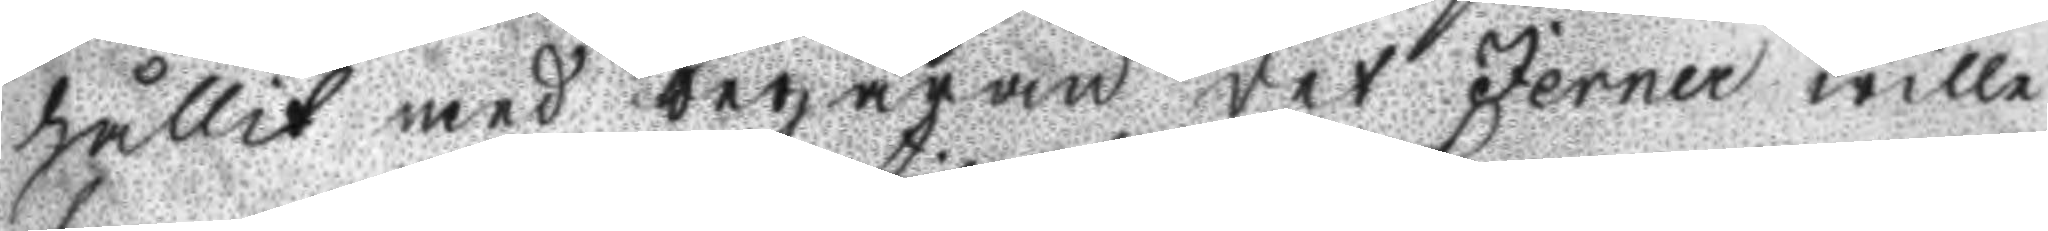hållit med begäran det Jerner wille
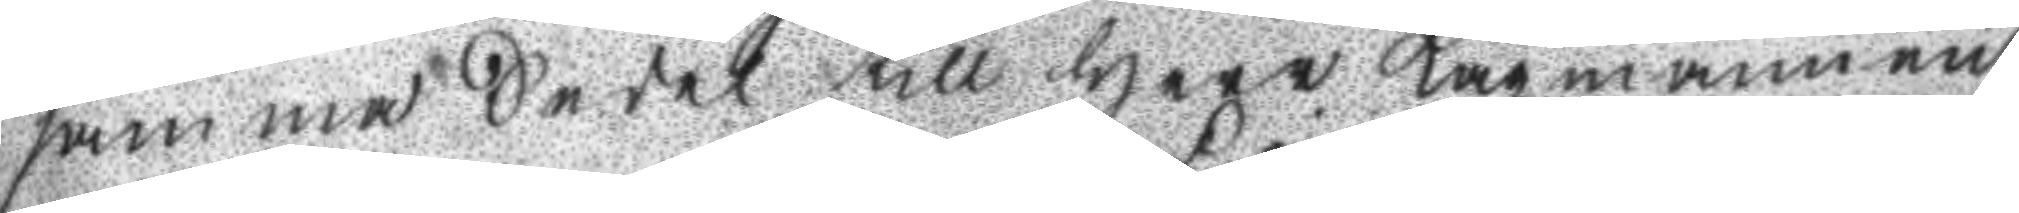samma Sedel till Herr Lagmannen
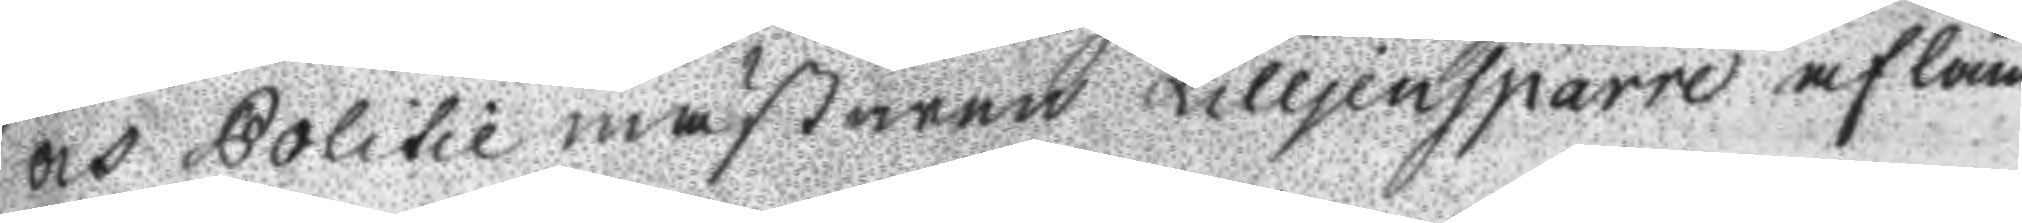och Politie mästaren Lilljensparre afläm
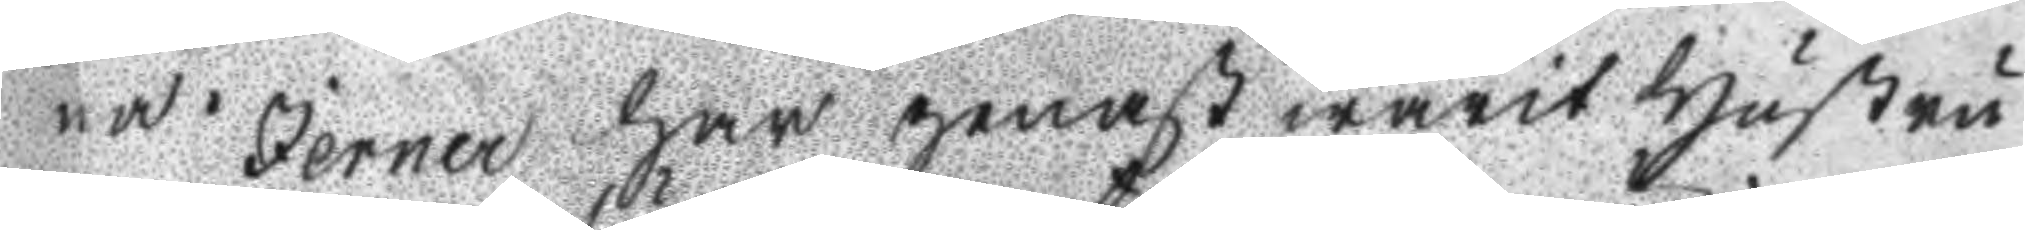na. Jerner har genast warit hustru
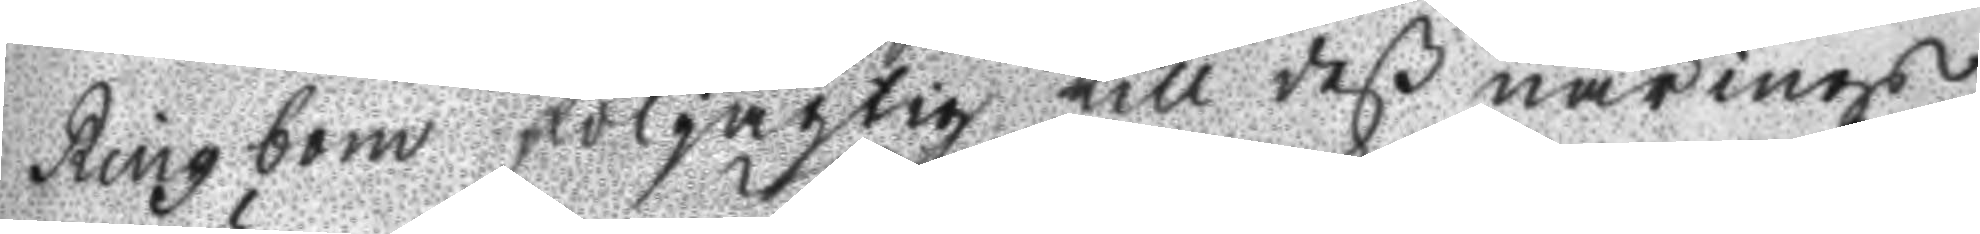Ringbom följagtig till deß närings
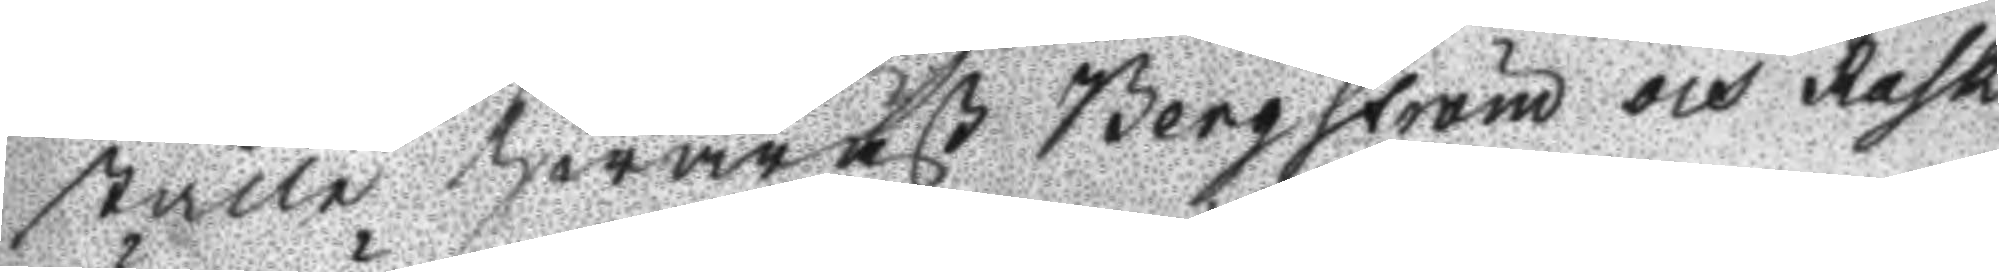ställe hwaräst Bergström och Rask
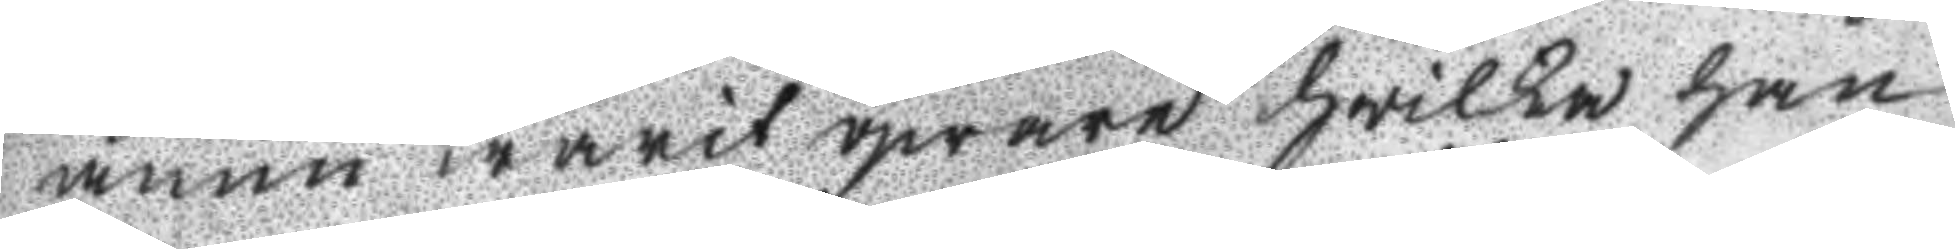ännu warit qware hwilka han
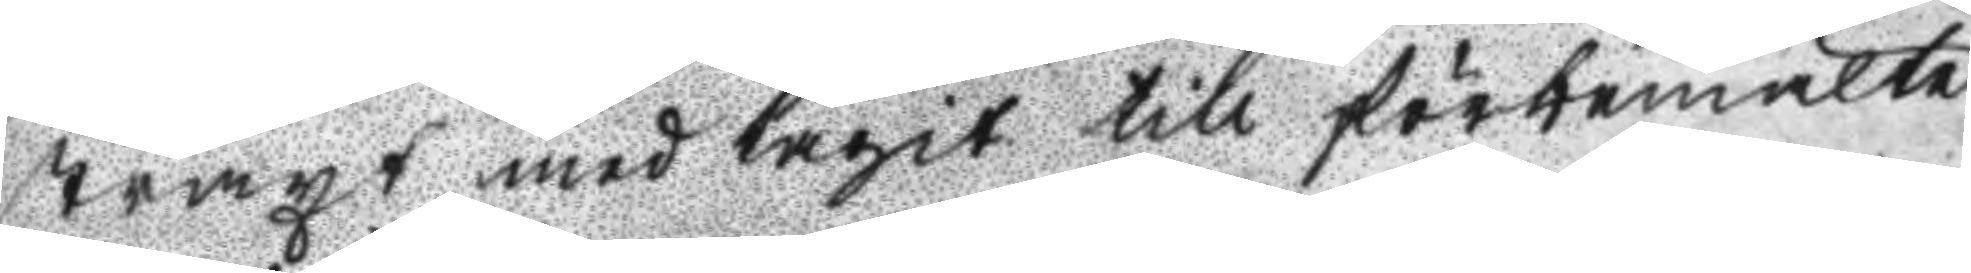straxt medtagit till förbemälte
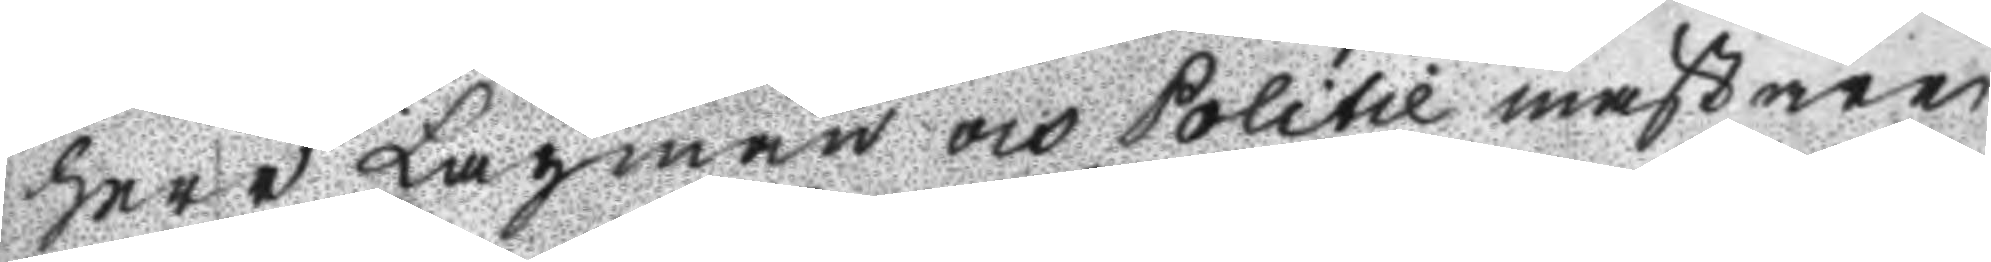Herr Lagman och Politie mästare
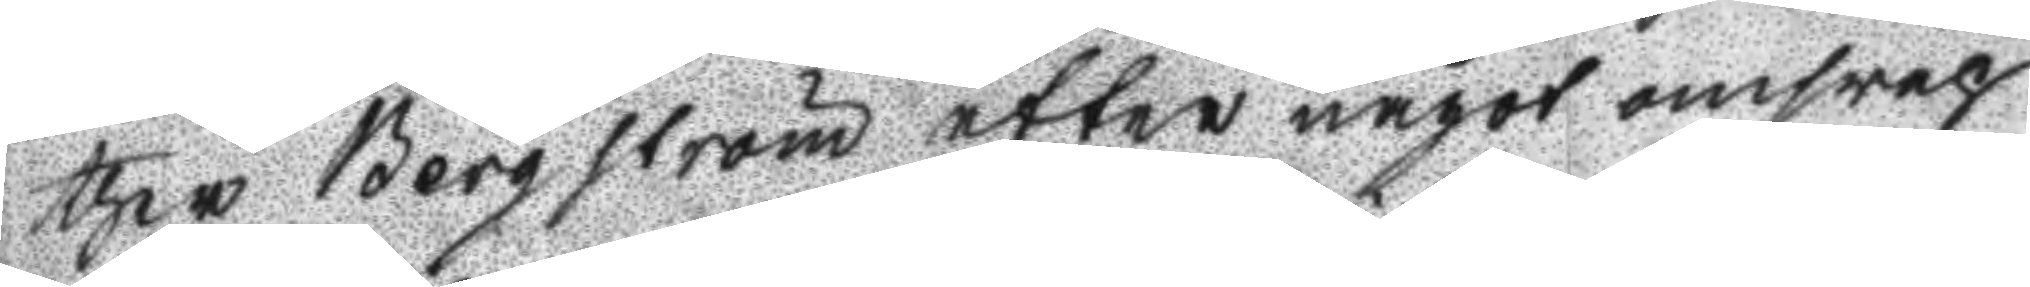ther Bergström efter något omsvep
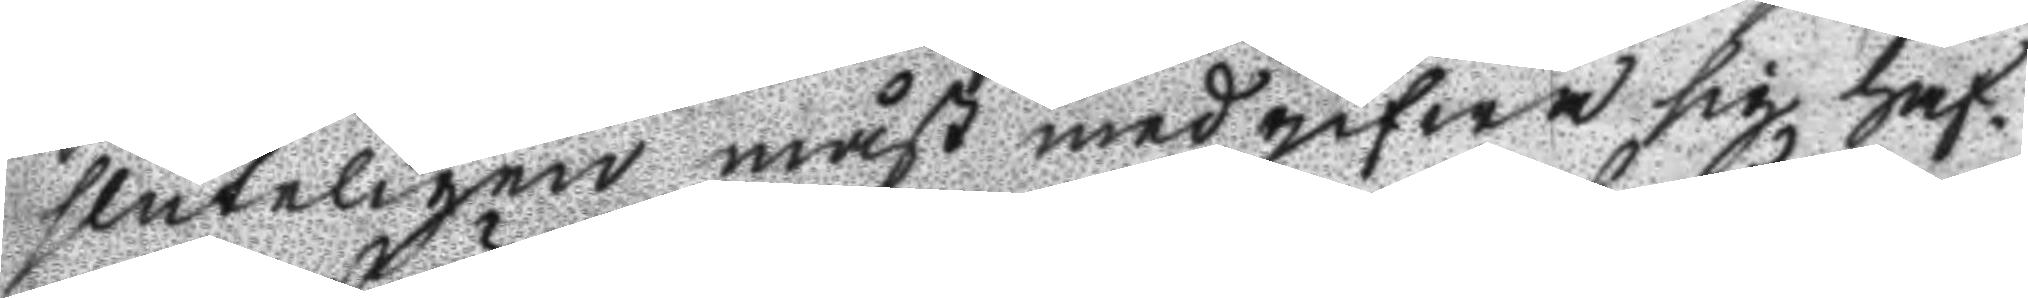sluteligen måst medgifwa sig haf¬
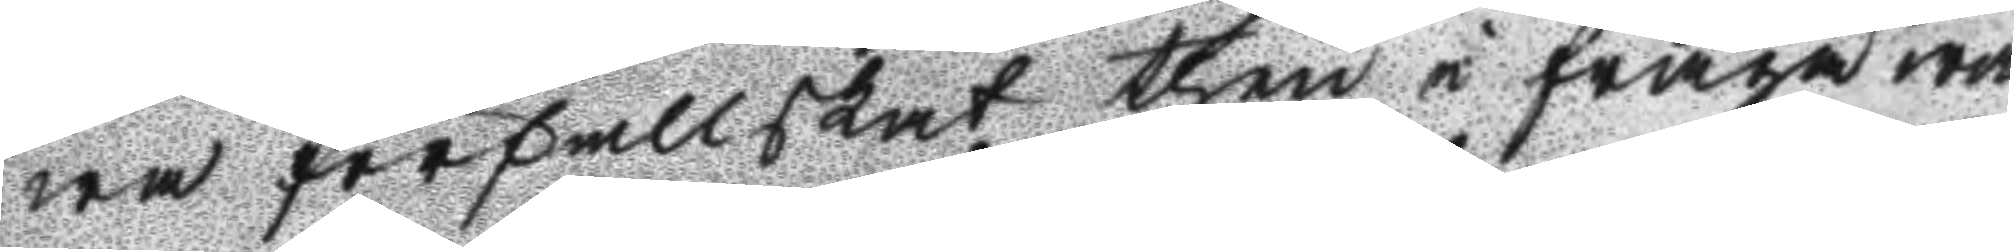wa förfallskat then i fråga wa
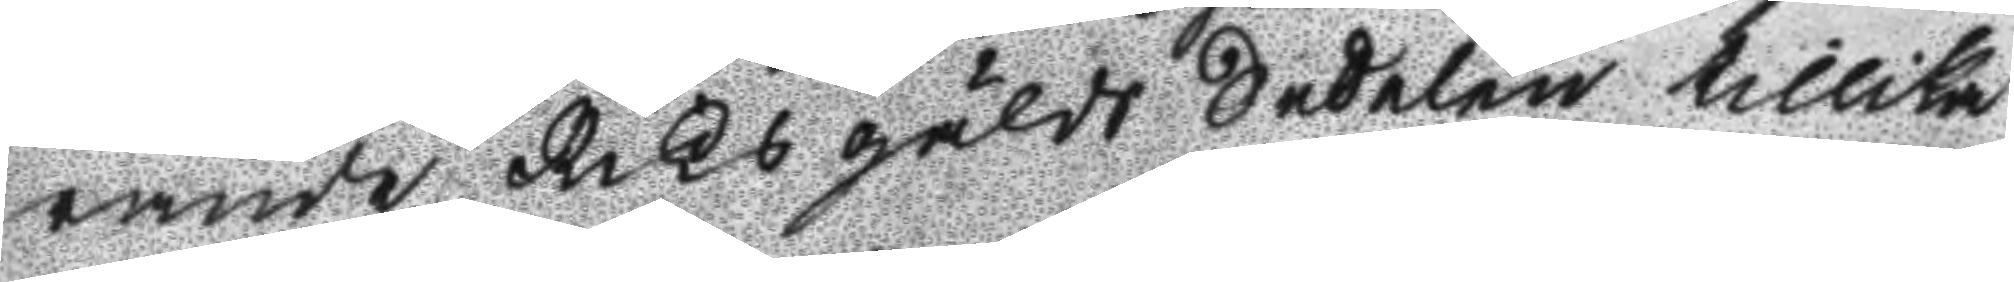rande Riksgälds Sedelen tillika
